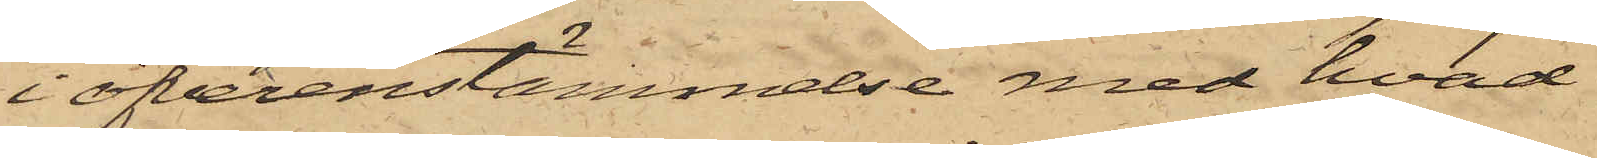i öfverenstämmelse med hvad
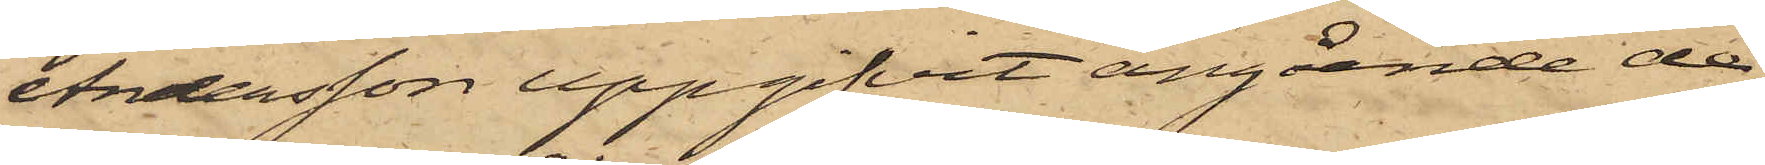Andersson uppgifvit angående de
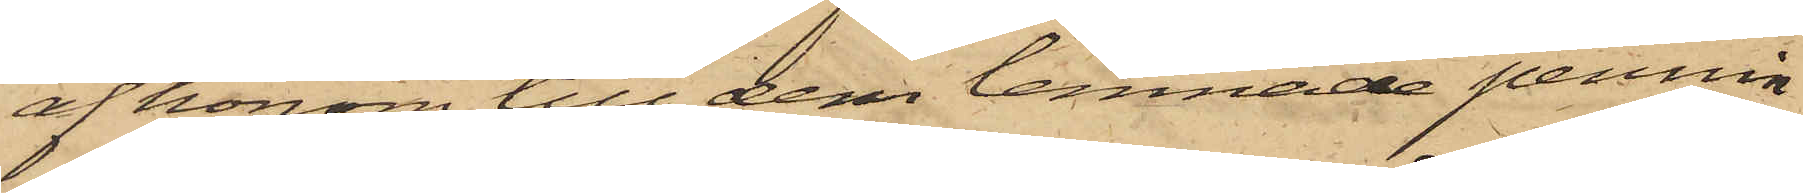af honom till dem lemnade pennin¬
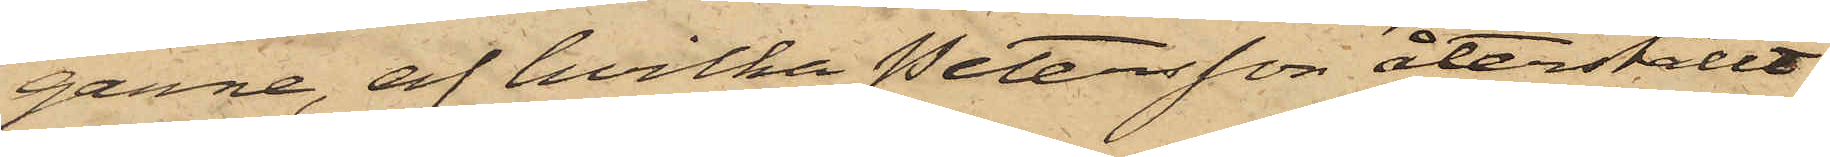garne, af hvilka Petersson återställt
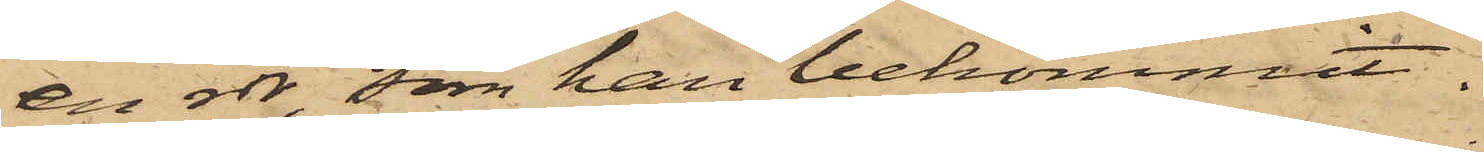en rdr, som han bekommit.
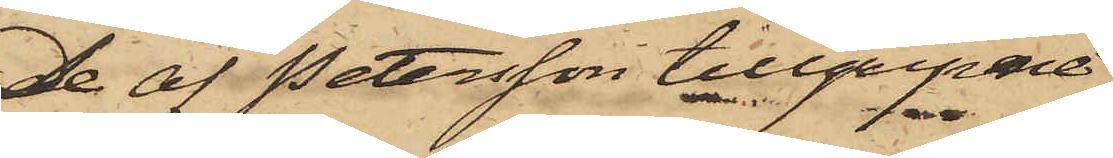De af Petersson tillgripne
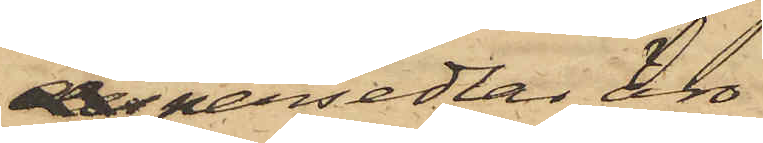despersedlar, äro
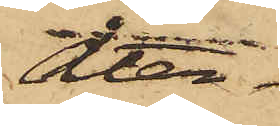åter¬
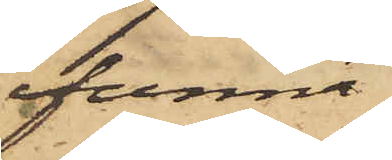funna
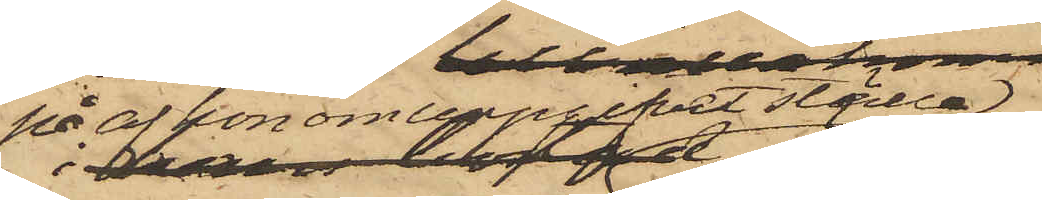på af honom uppgifvet ställe,
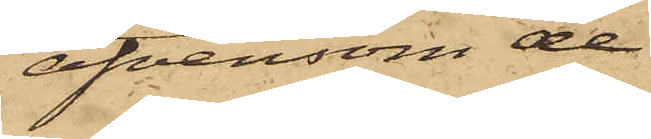äfvensom de
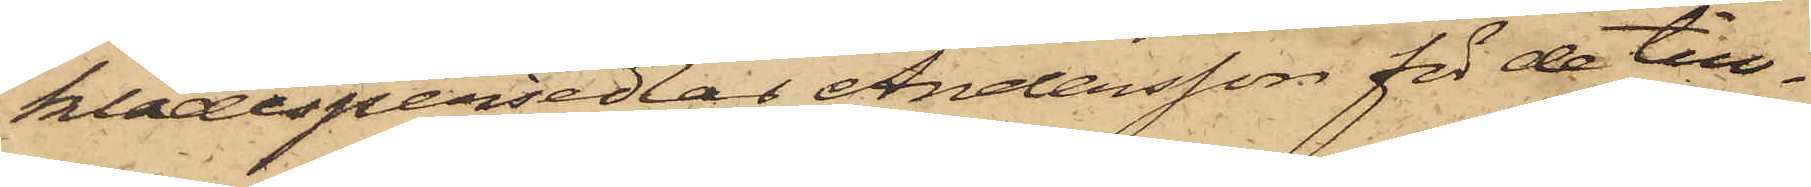klädespersedlar Andersson för de till¬
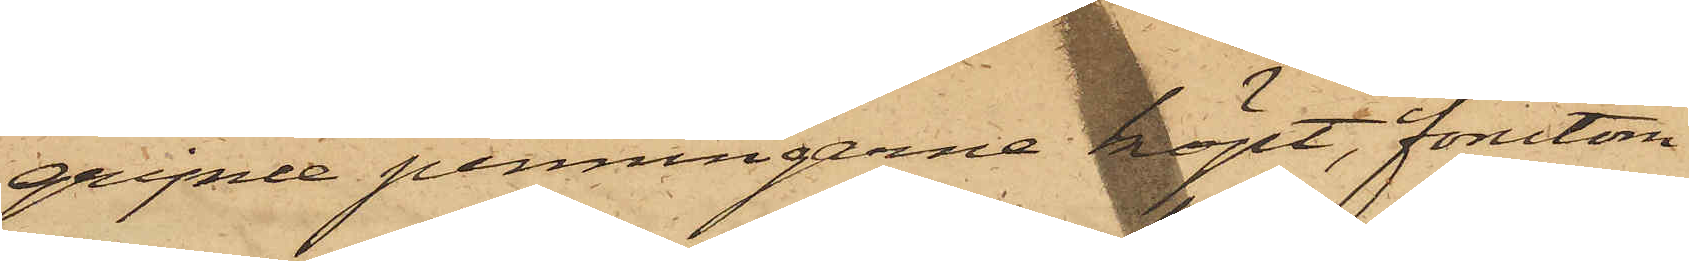gripne penningarne köpt, förutom
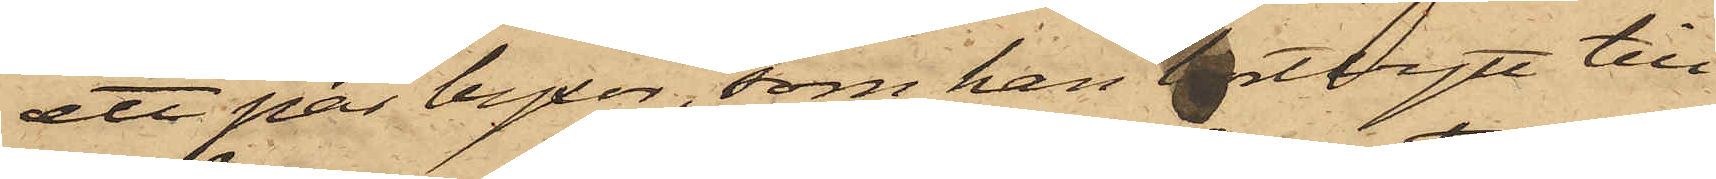ett par byxor, som han bortbytt till
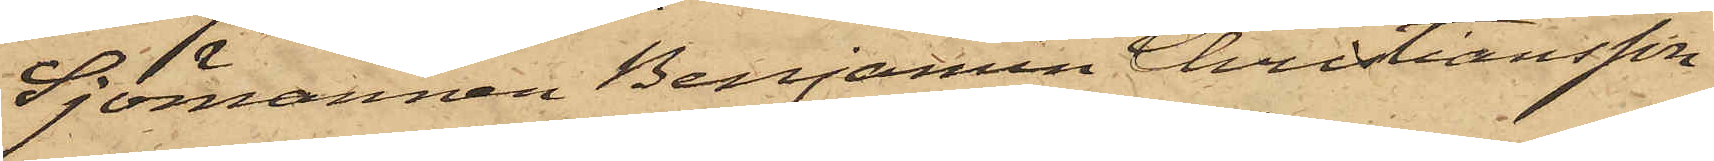Sjömannen Benjamin Christiansson
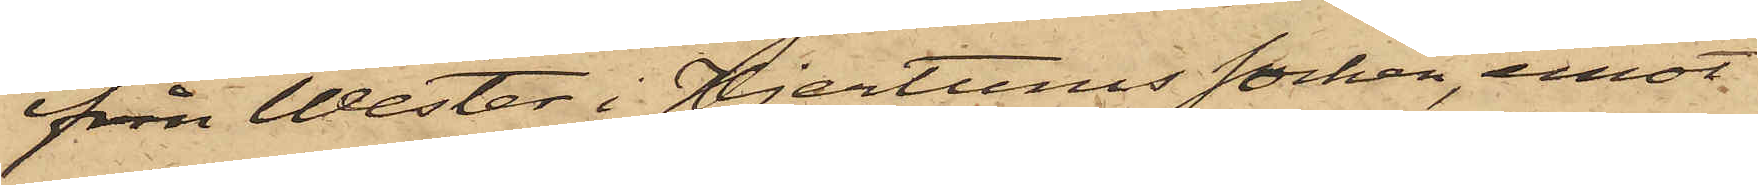ifrån Wester i Hjertums socken, emot
